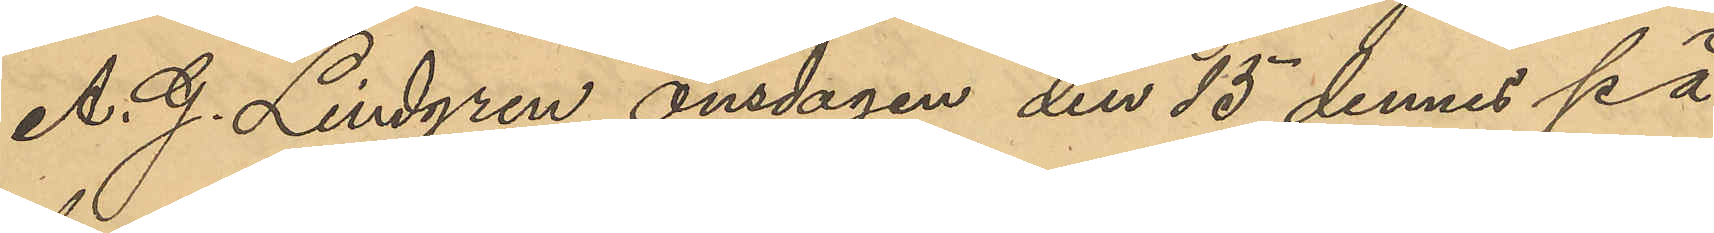A. G. Lindgren onsdagen den 15 dennes på
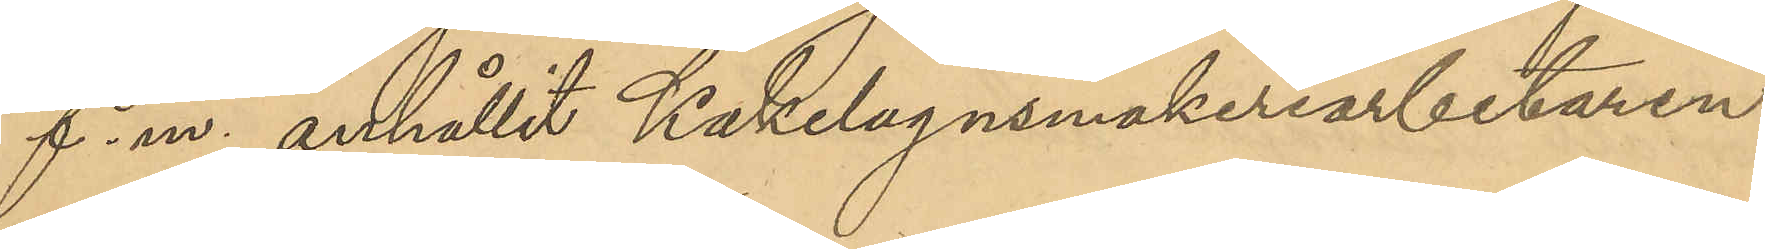f. m. anhållit Kakelugnsmakeriarbetaren
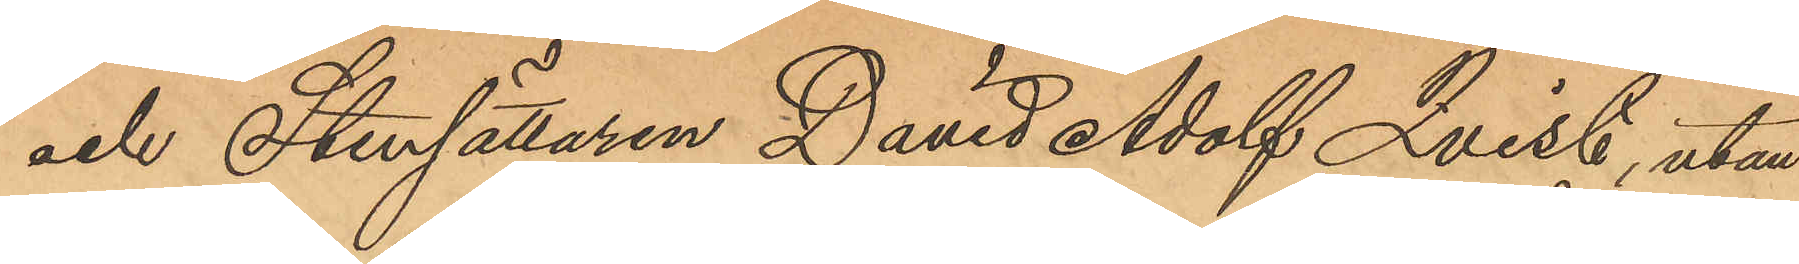och Stensättaren David Adolf Qvist, utan
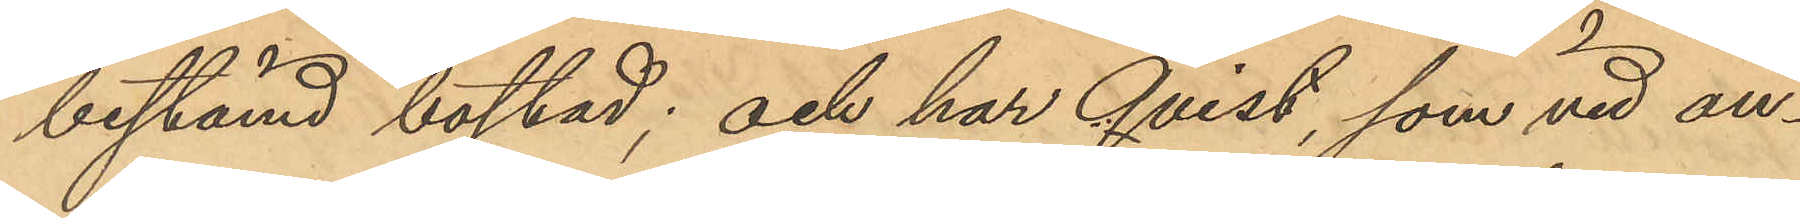bestämd bostad; och har Qvist, som vid an¬
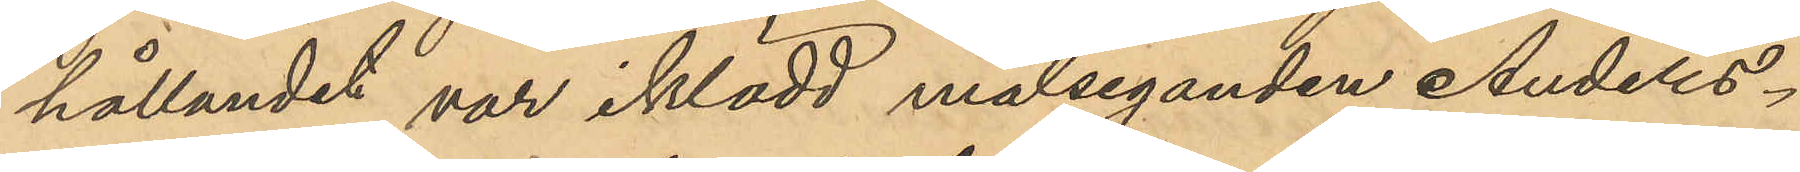hållandet var iklädd målseganden Anders¬
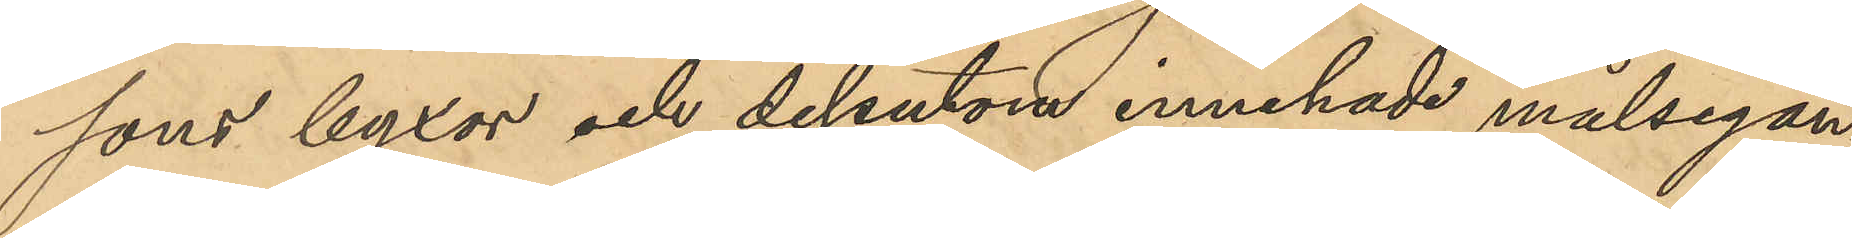sons byxor och dessutom innehade målsegan¬
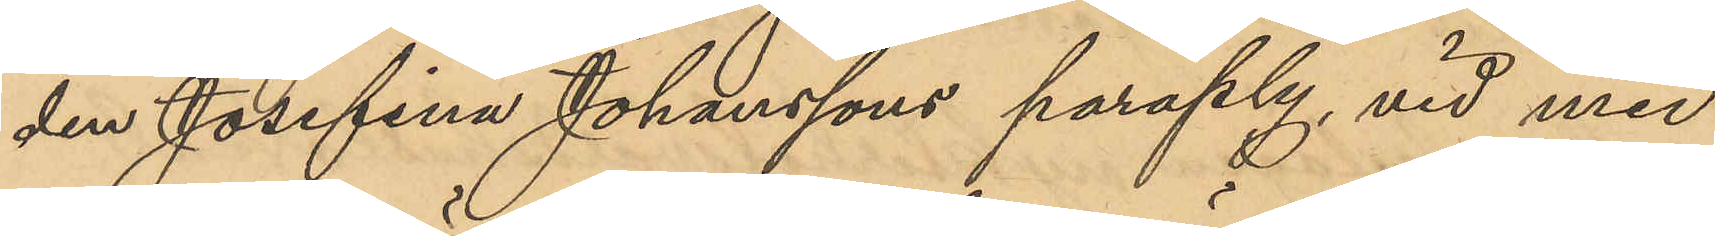den Josefina Johanssons paraply, vid med
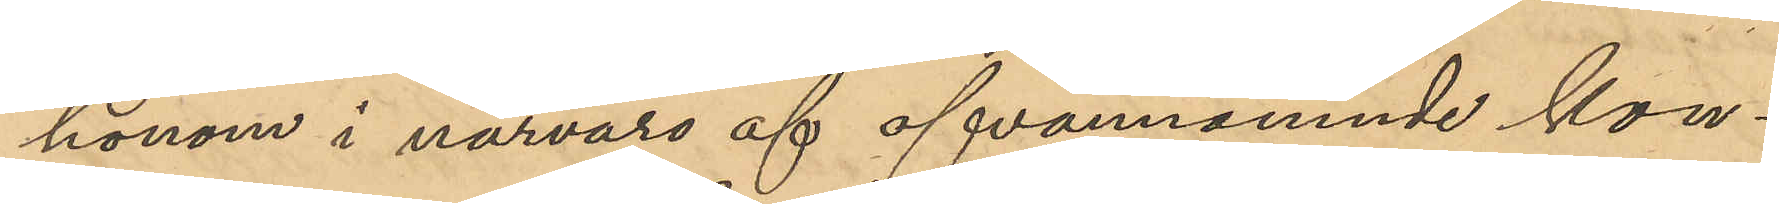honom i närvaro af ofvannämnde kon¬
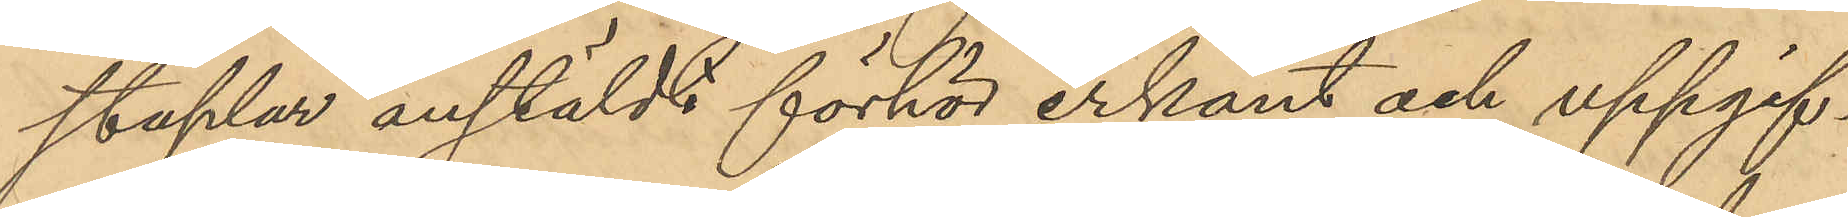staplar anstäldt förhör erkänt och uppgif¬
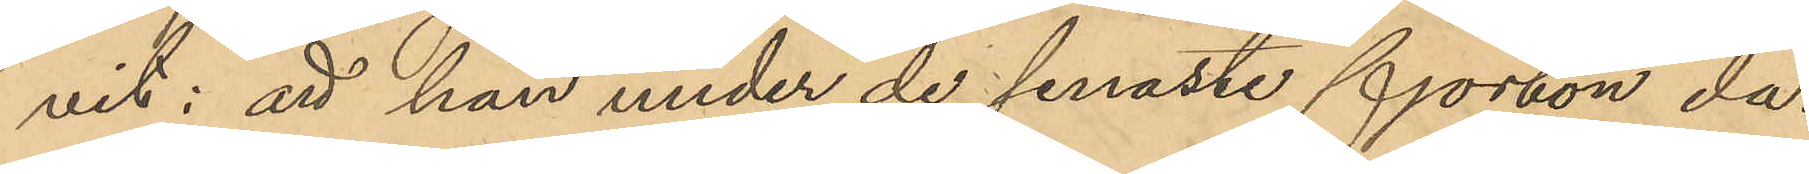vit: att han under de senaste fjorton da¬
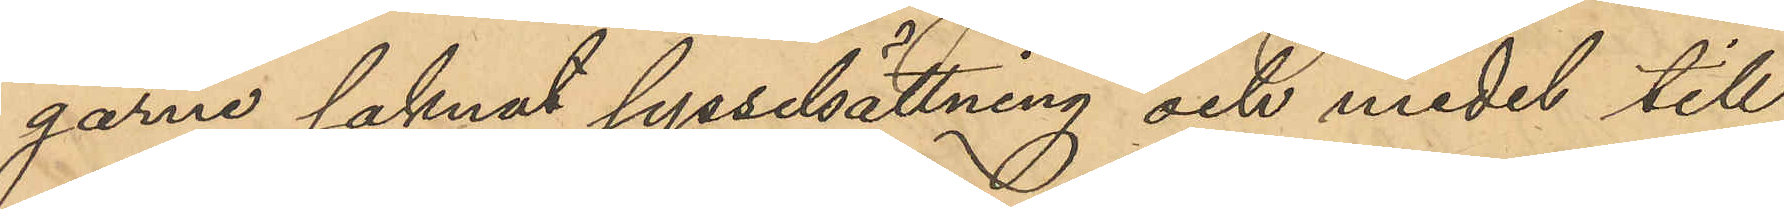garna saknat sysselsättning och medel till
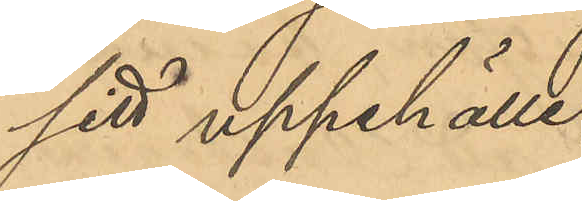sitt uppehälle,
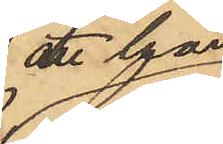att han
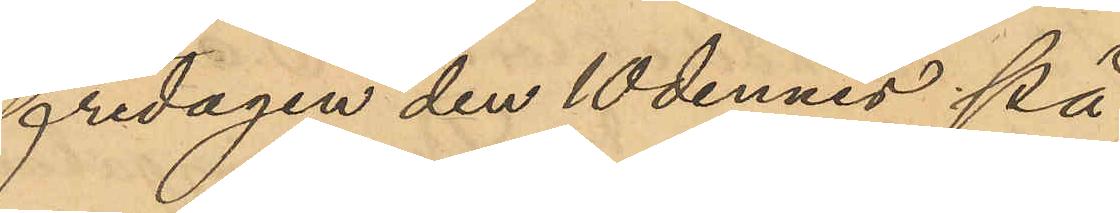fredagen den 10 dennes på
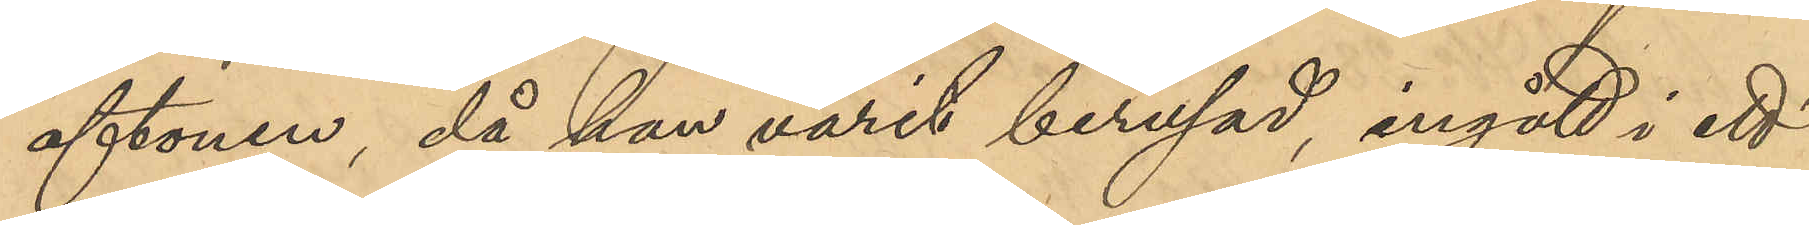aftonen, då han varit berusad, ingått i ett
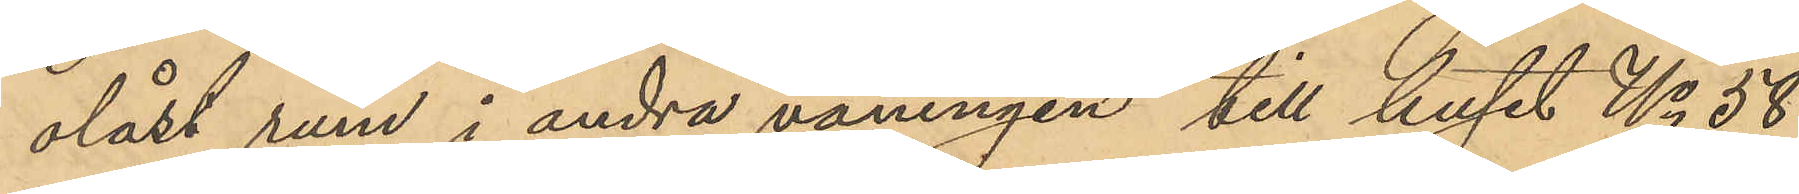olåst rum i andra våningen till huset No 58
